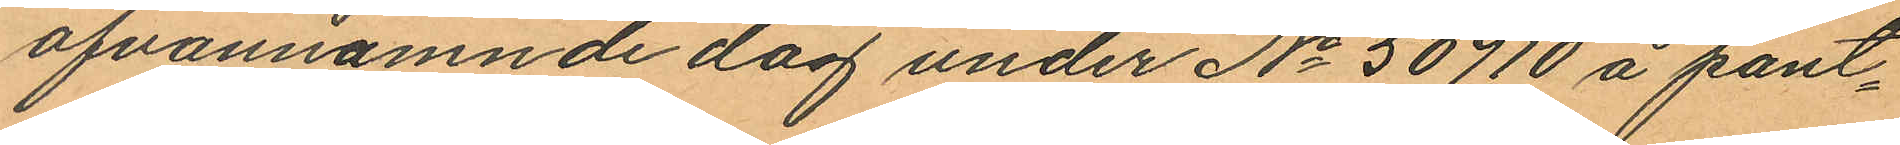ofvannämnde dag under No 50710 å pant¬
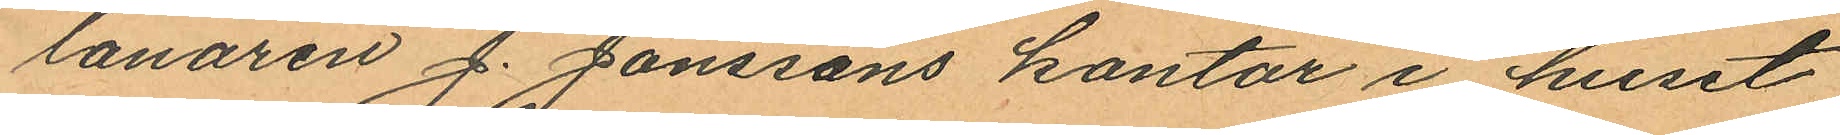lånaren J. Jonssons kontor i huset
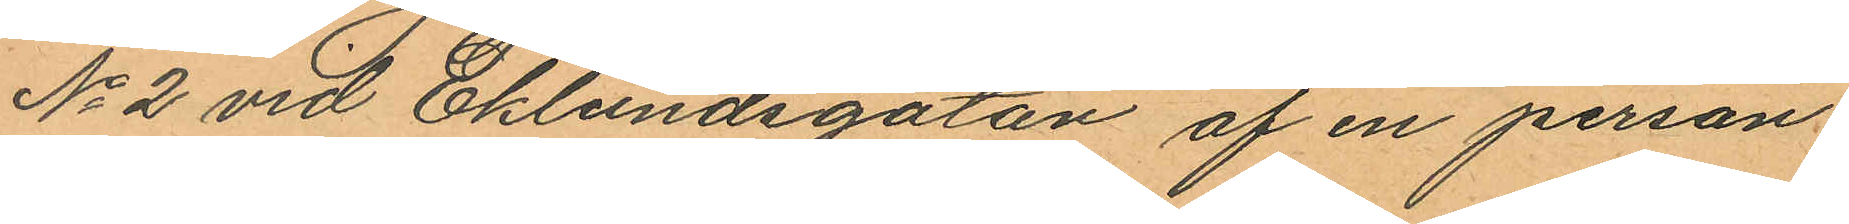No 2 vid Eklundsgatan af en person
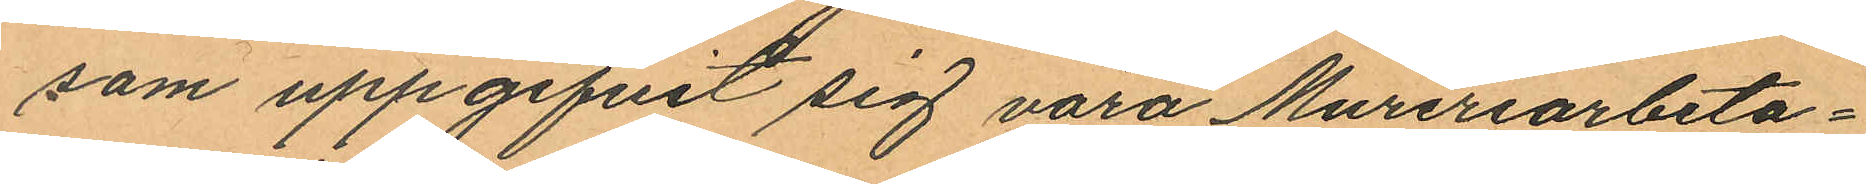som uppgifvit sig vara Mureriarbeta¬
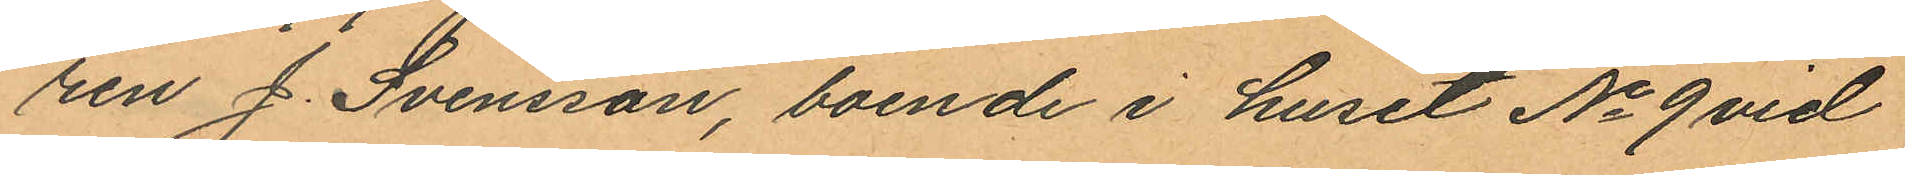ren J. Svensson, boende i huset No 9 vid
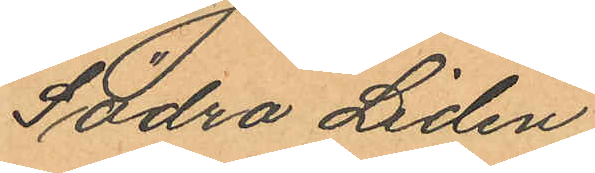Södra Liden.
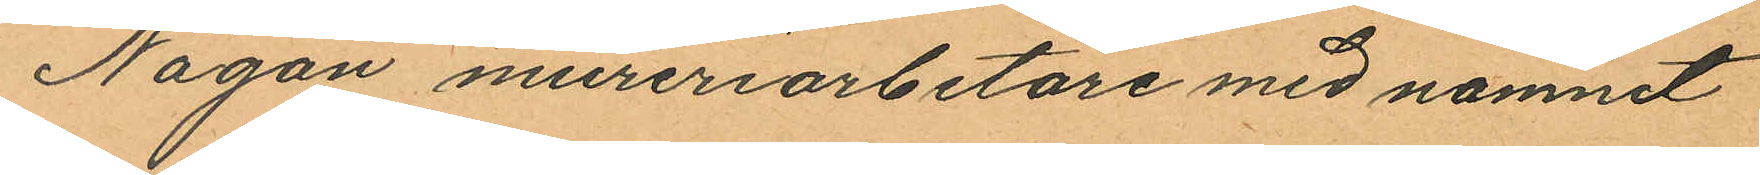Någon mureriarbetare med namnet
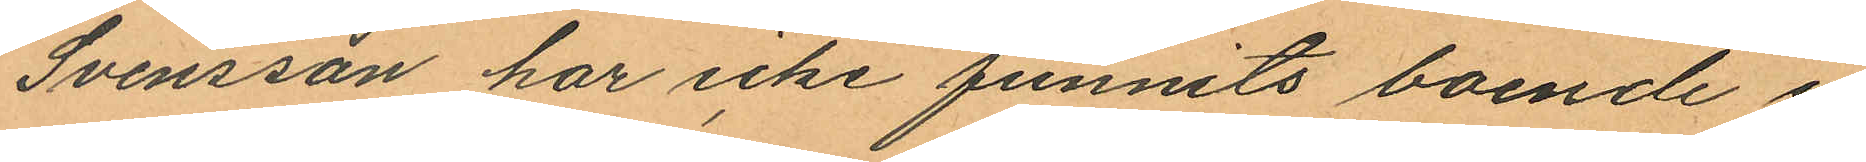Svensson har icke funnits boende i
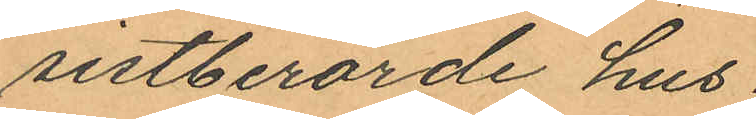sistberörde hus.
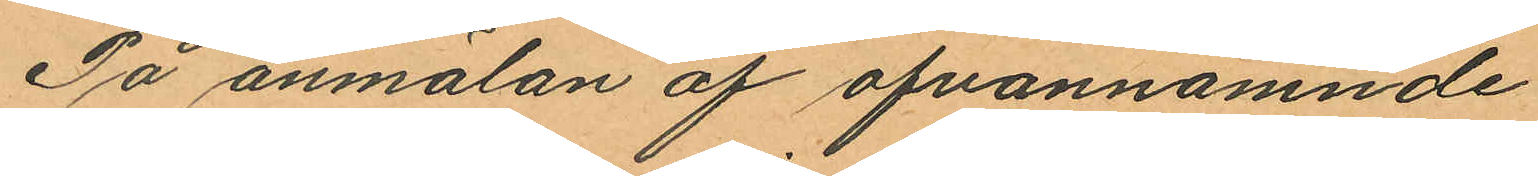På anmälan af ofvannämnde
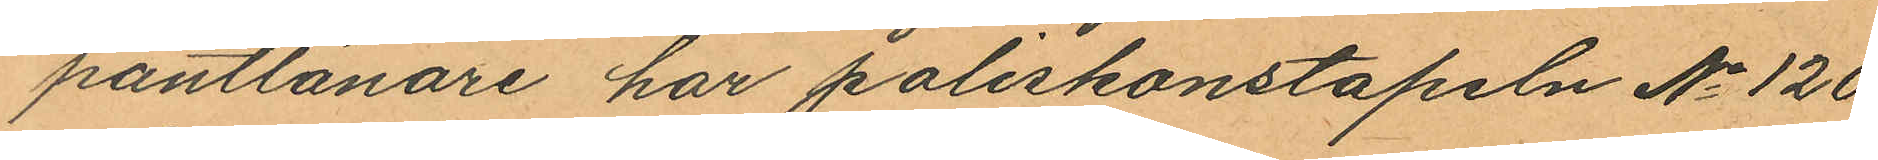pantlånare har poliskonstapeln No 120
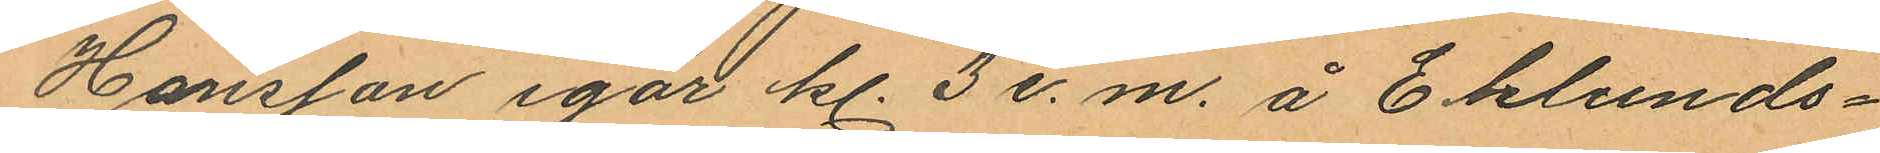Hansson igår kl. 3 e. m. å Eklunds¬
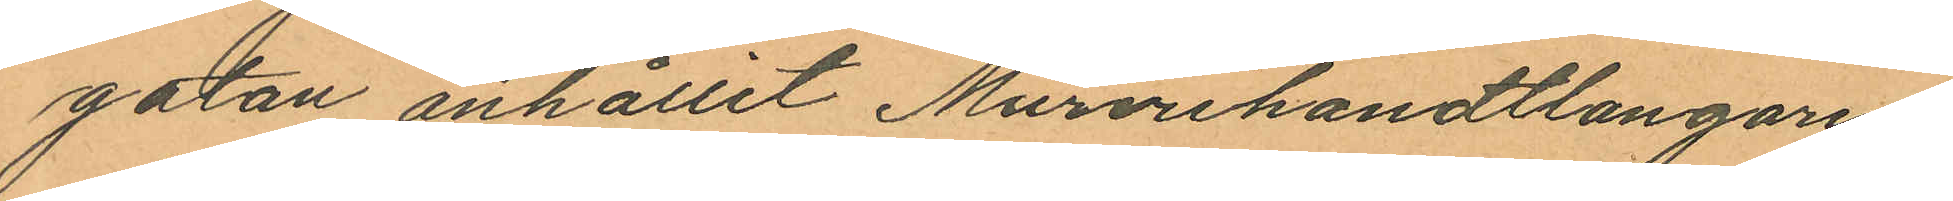gatan anhållit Murerihandtlangaren
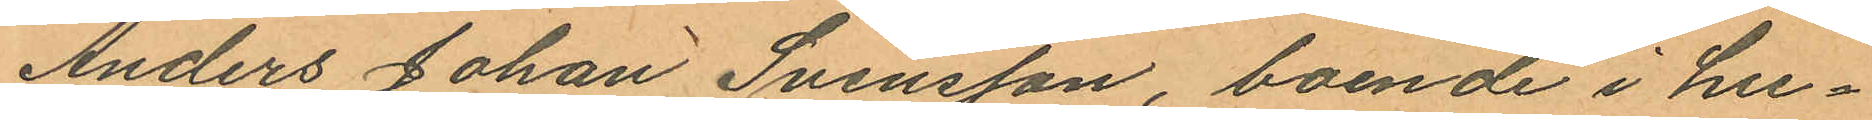Anders Johan Svensson, boende i hu¬
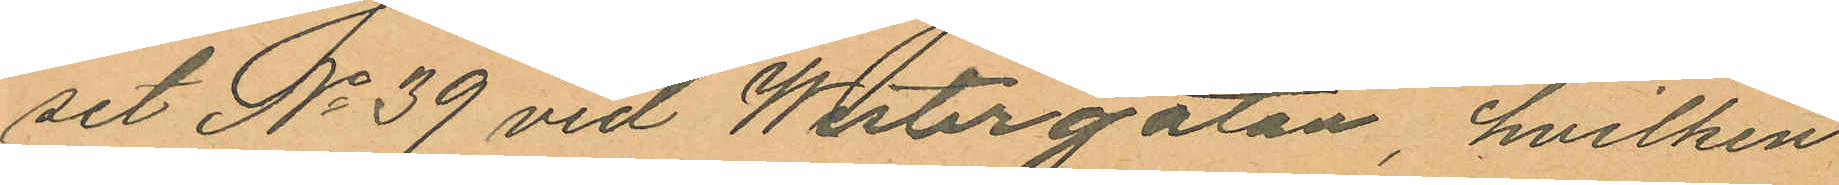set No 39 vid Westergatan, hvilken
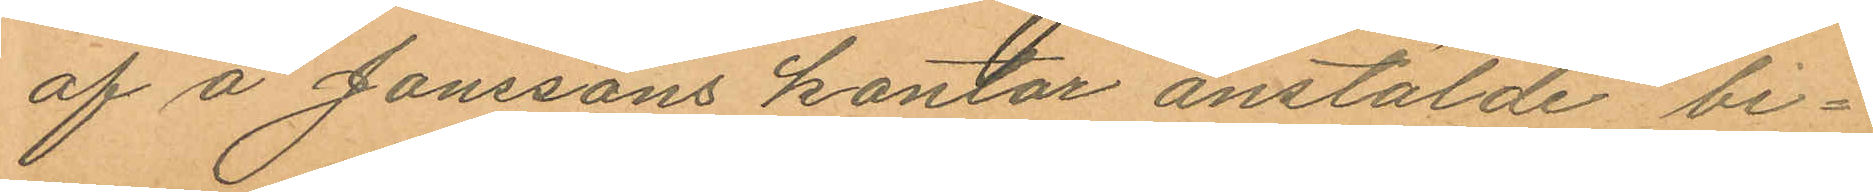af å Janssons kontor anstälde bi¬
